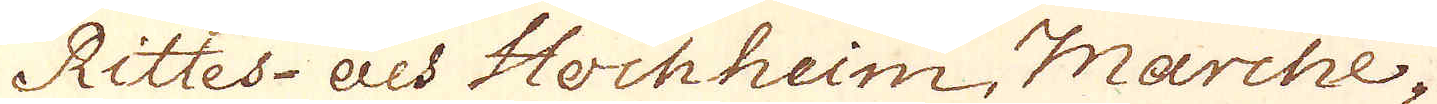Rittes-Als Hockheim, Marche-
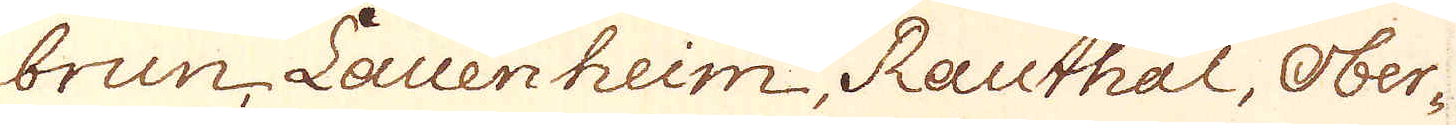brun Lalenheim Rauthal, Ober-
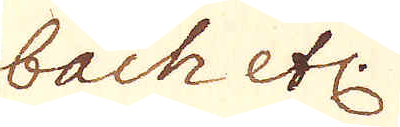bach etc:
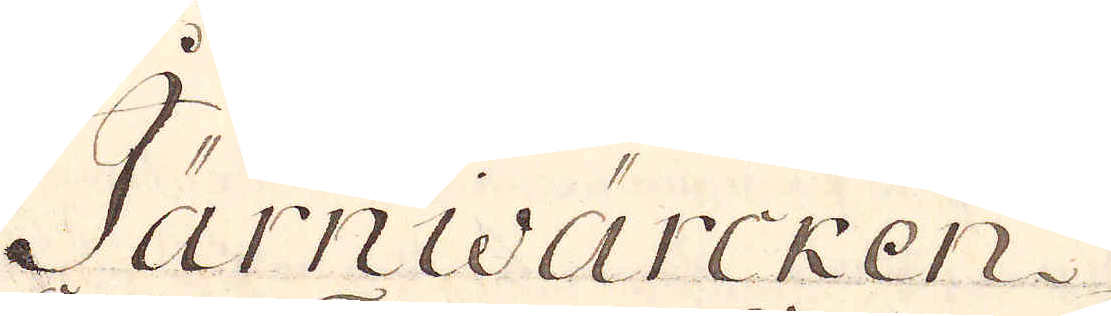Järnwärcken
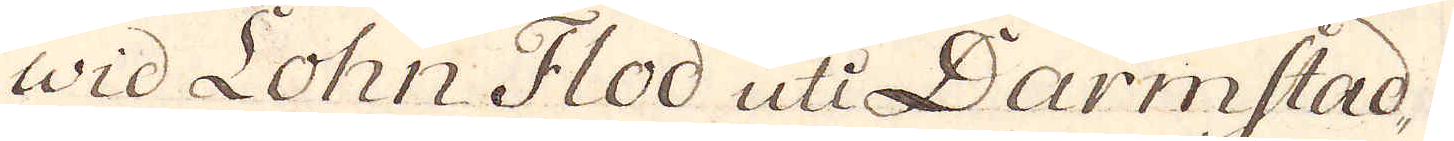wid Lohn Flod uti Darmstad,
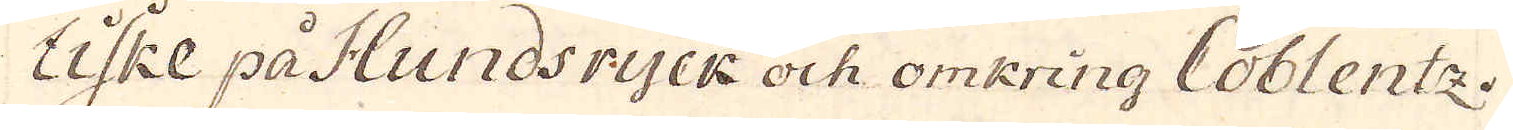Uske på Hundsryck och omkring Coblentz.
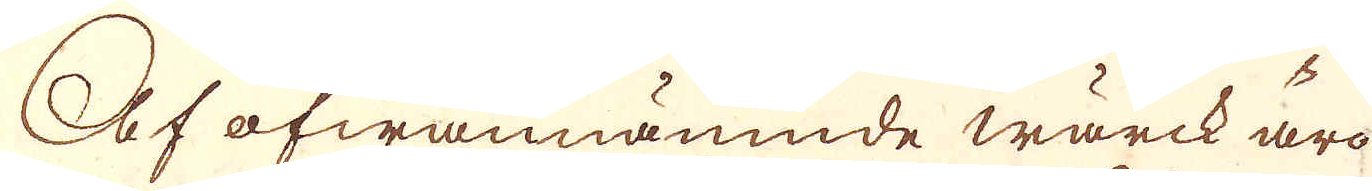Af ofwannämnde wärck äro
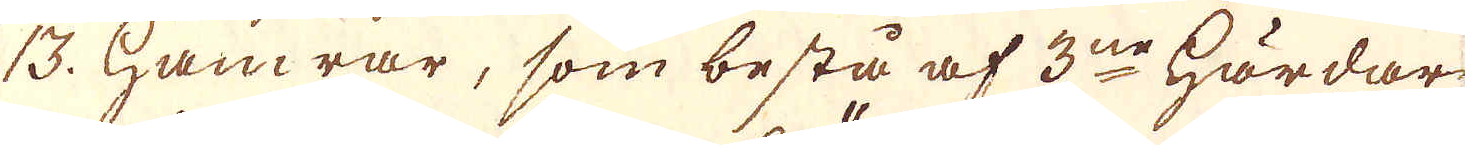13. hamrar, som bestå af 3ne härdar
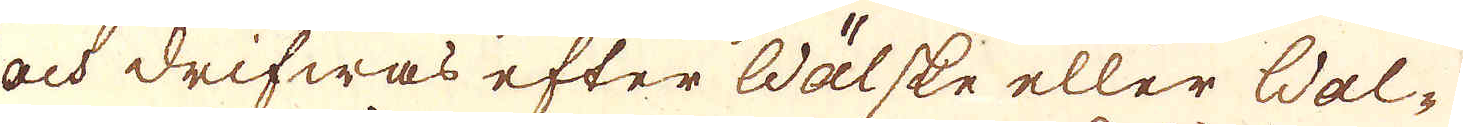och drifwas efter Wälske eller Wal-
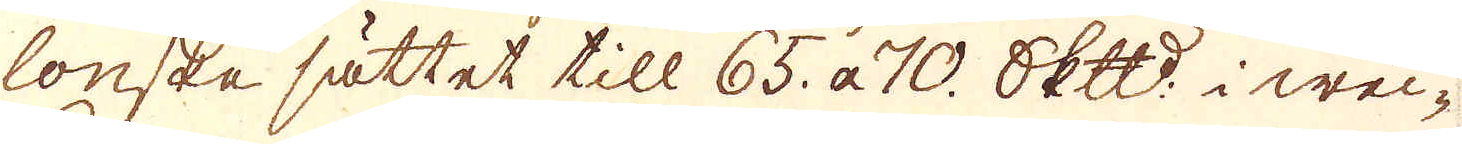lonske sättet till 65. a 70. skeppund i wec-
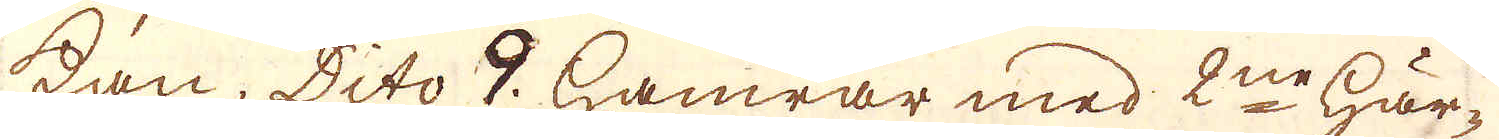kan, Dito 9. hamrar med 2ne här-
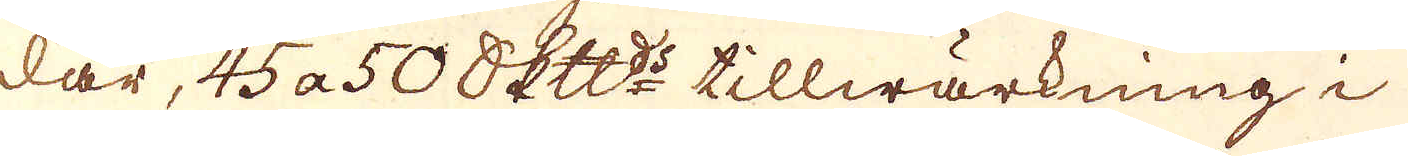dar, 45 a 50 skeppunds tillwärkning i
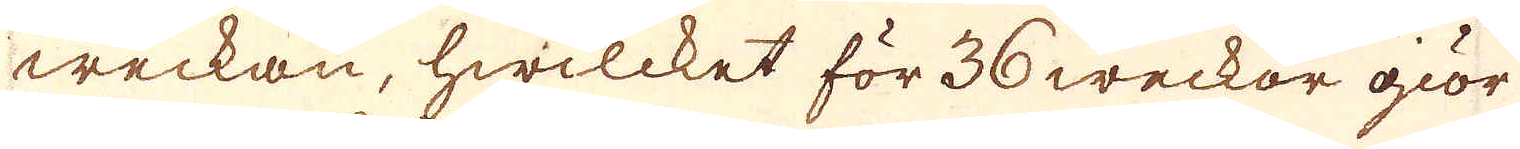weckan, hwilcket för 36 weckor giör
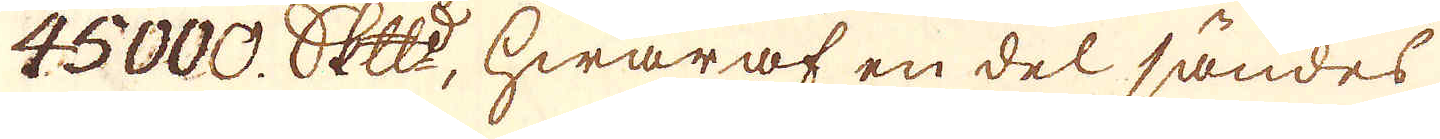45000. skeppund, hwaraf en del sändes
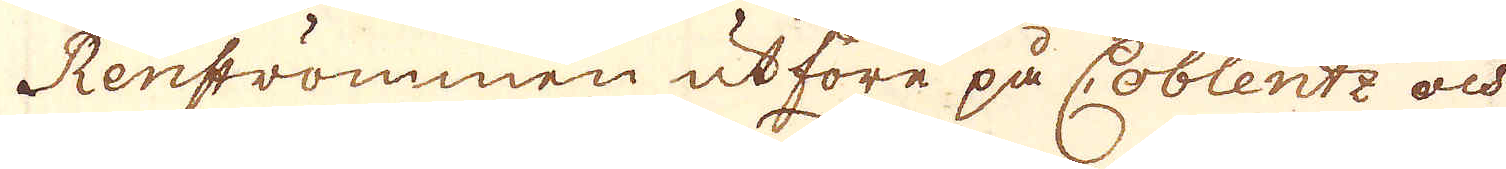Renströmmen utföre på Coblentz och
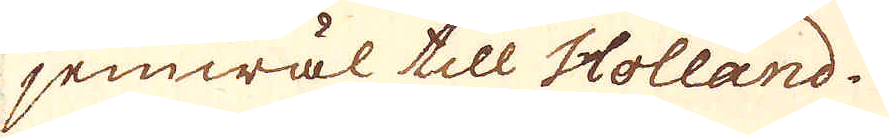jemwäl till Holland.
